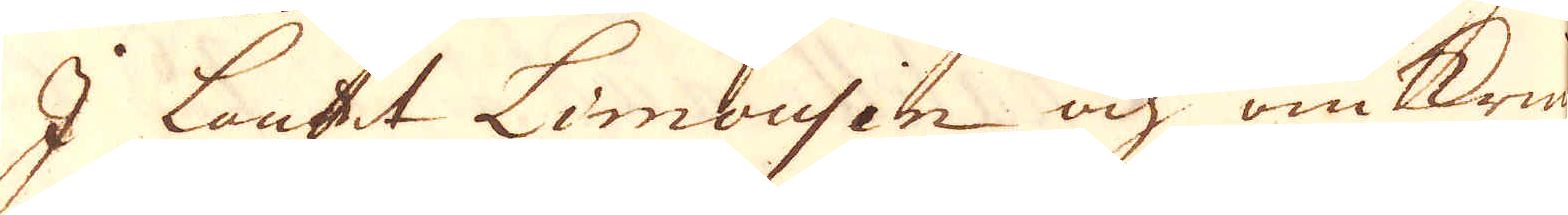I Landet Limousin och omkring
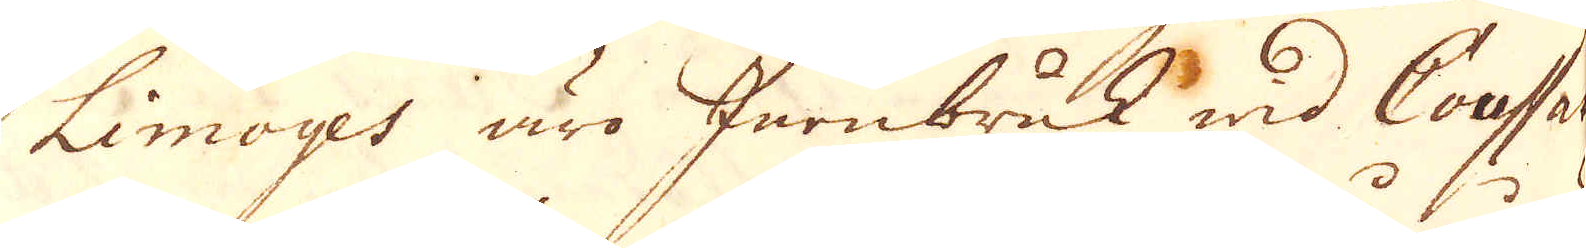Limoyes äro Jernbruk wid Coussac
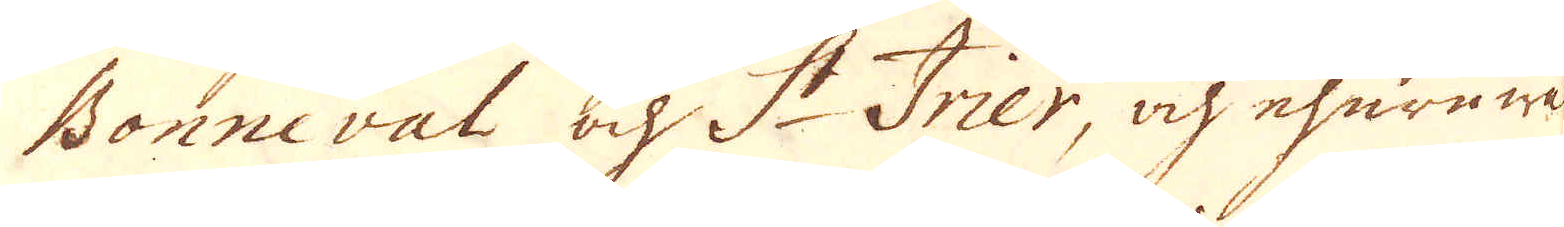Bonneval och St Trier, och ehuruwäl
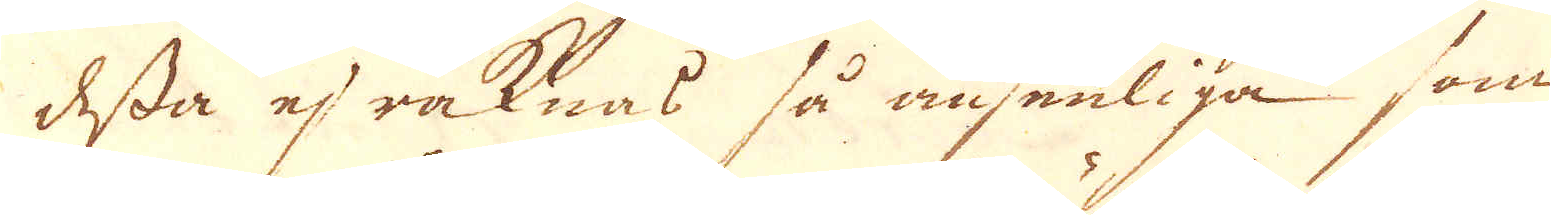dessa ej räknas så ansenliga som
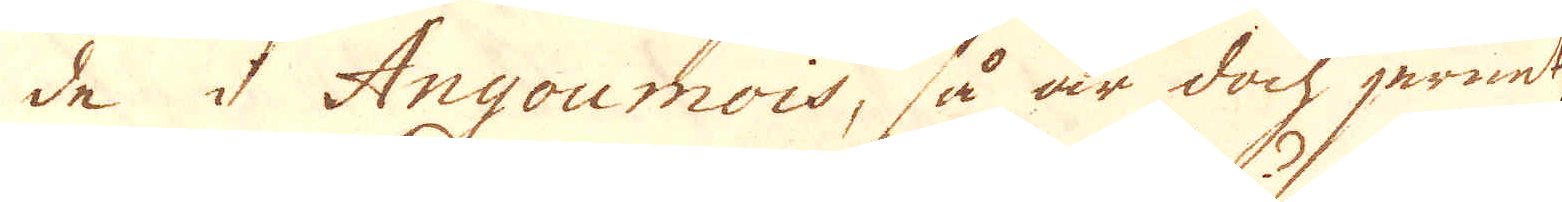de i Angoumois, så är doch jernet
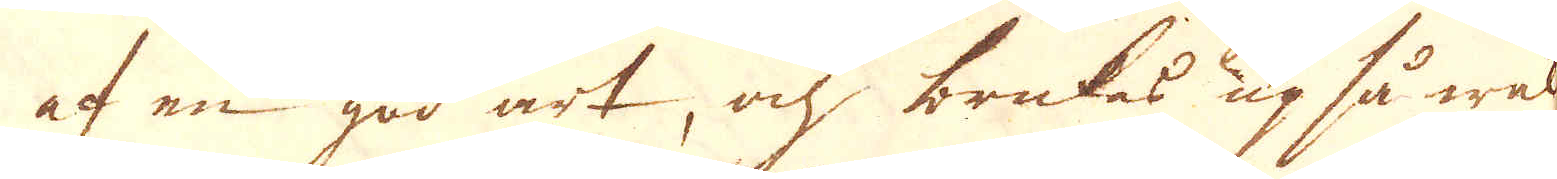af en god art, och brukas up så wäl
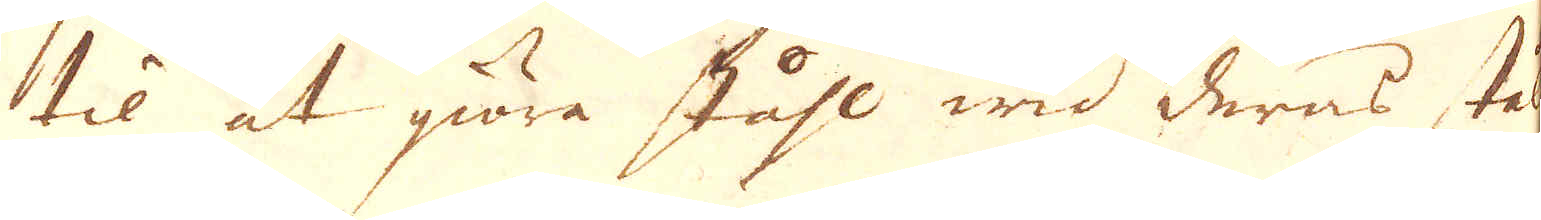til at giöra ståhl wid deras stål
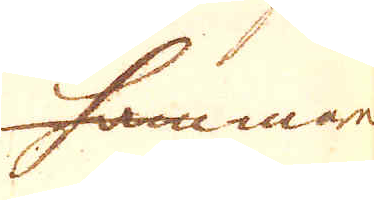hammare
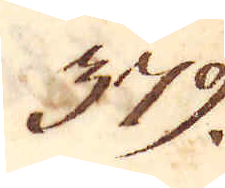379.
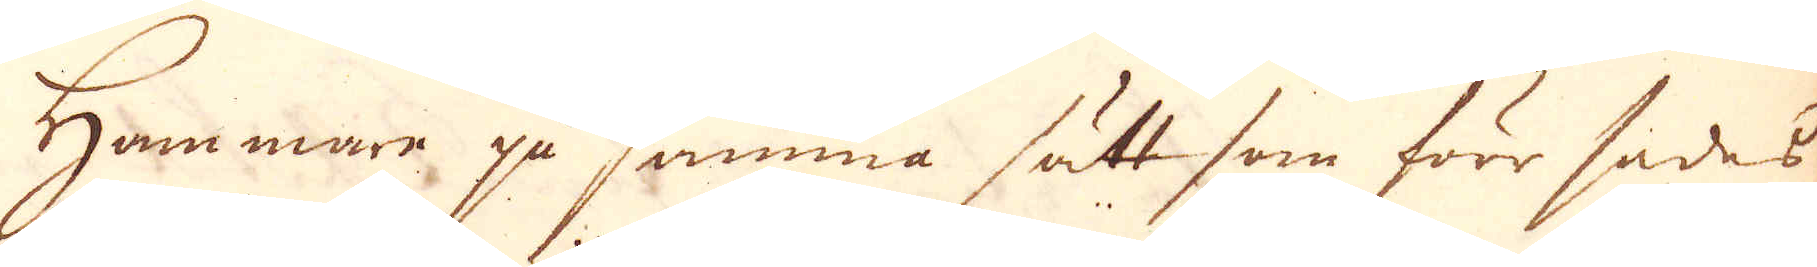Hammare på samma sätt som förr sades
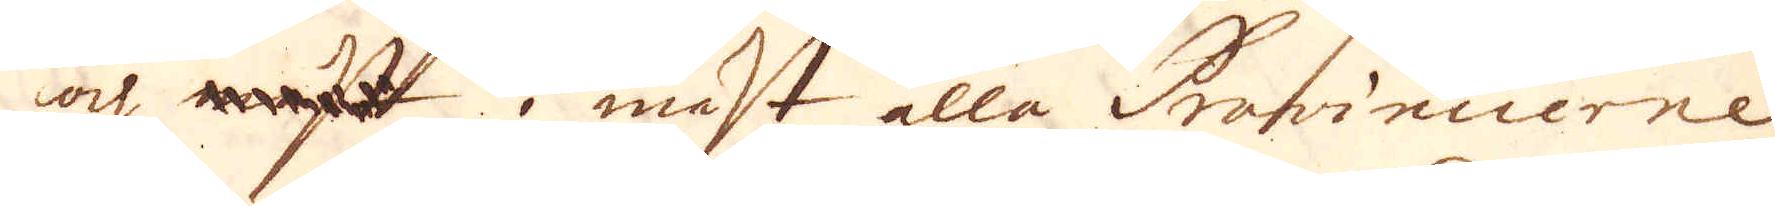och mift i mäst alla Provincierne
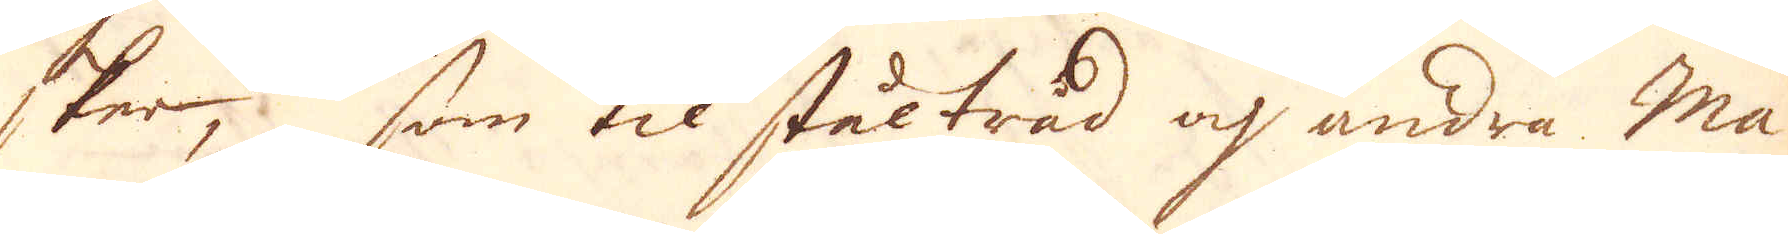sker, som til ståltråd och andra Ma-
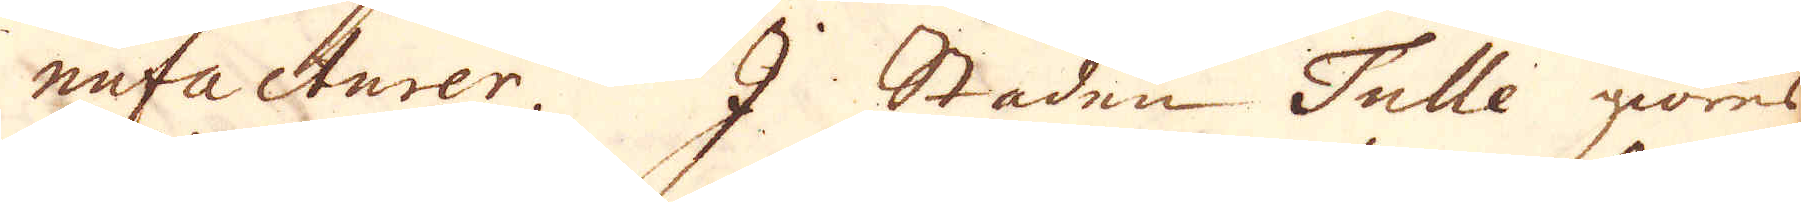nufacturer. I Staden Tulle göres
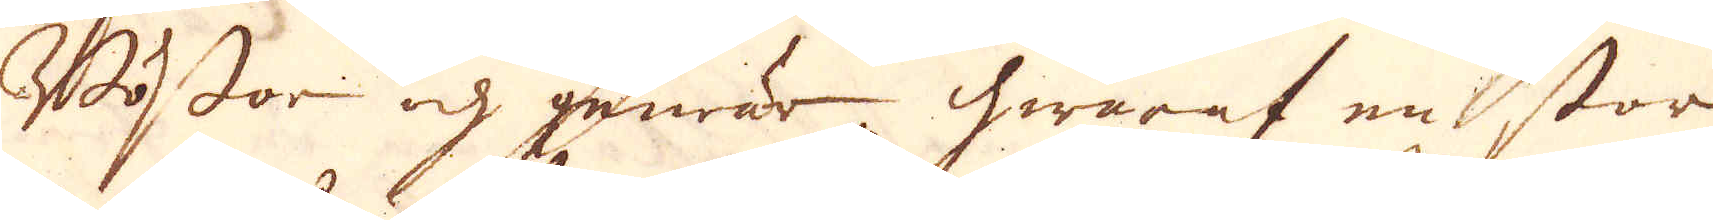Bössor och gewär hwaraf en stor
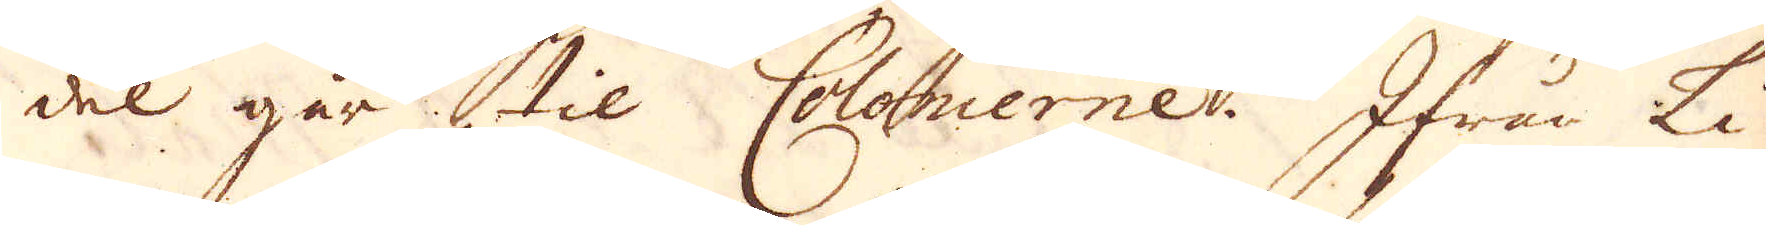del går til Colonierne. Ifrån Li-
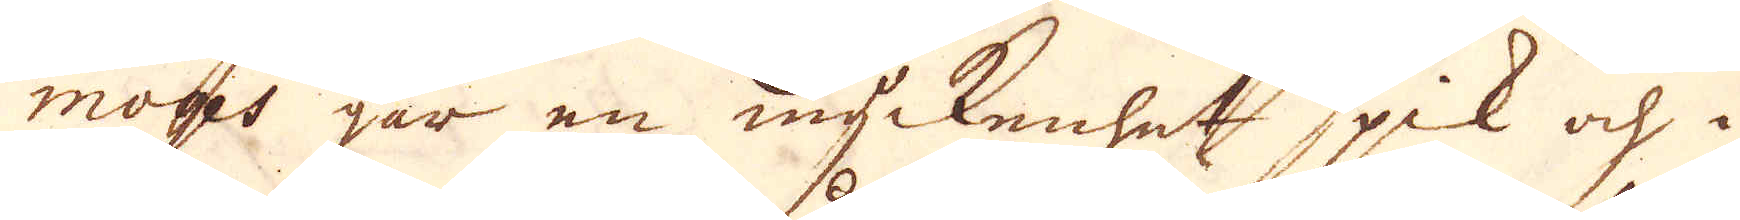mons går en myckenhet spik och i
